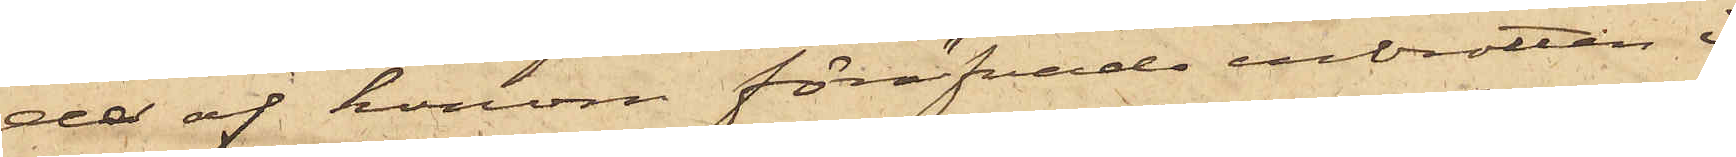da af honom föröfvade inbrotten i
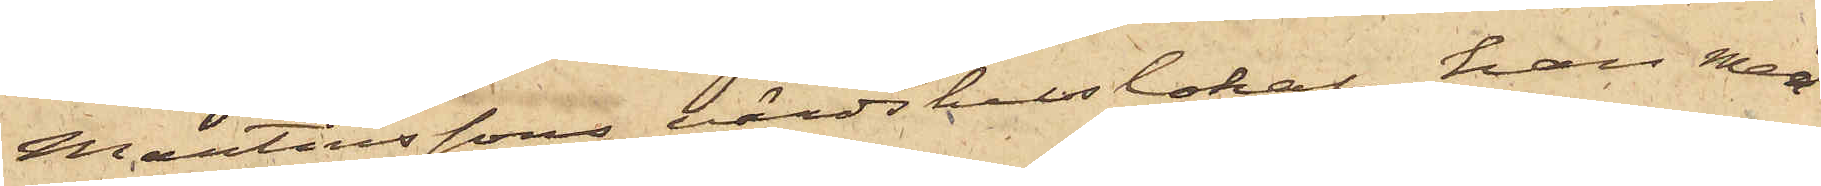Martinssons värdshuslokal, han med
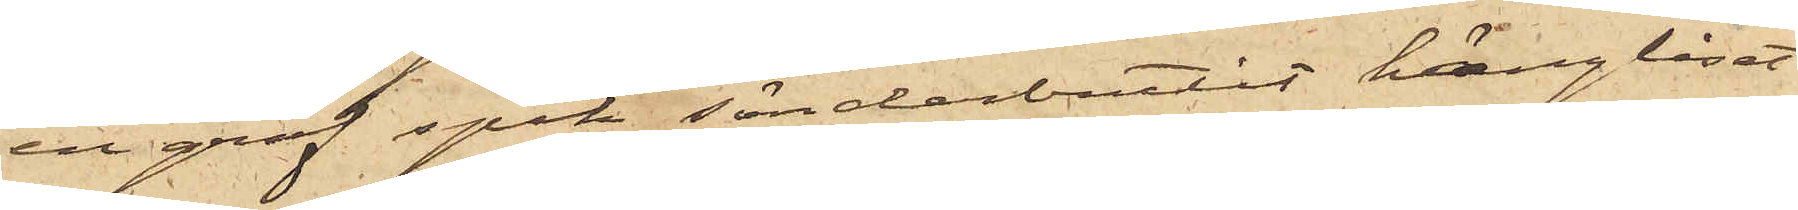en grof spik sönderbrutit hänglåset
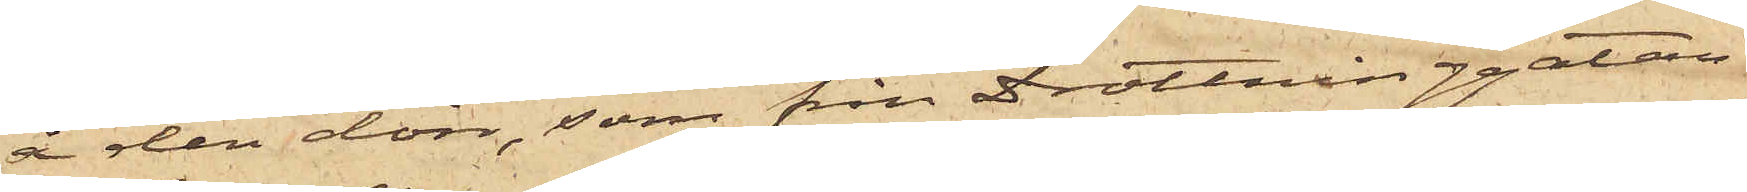å den dörr, som från Drottninggatan
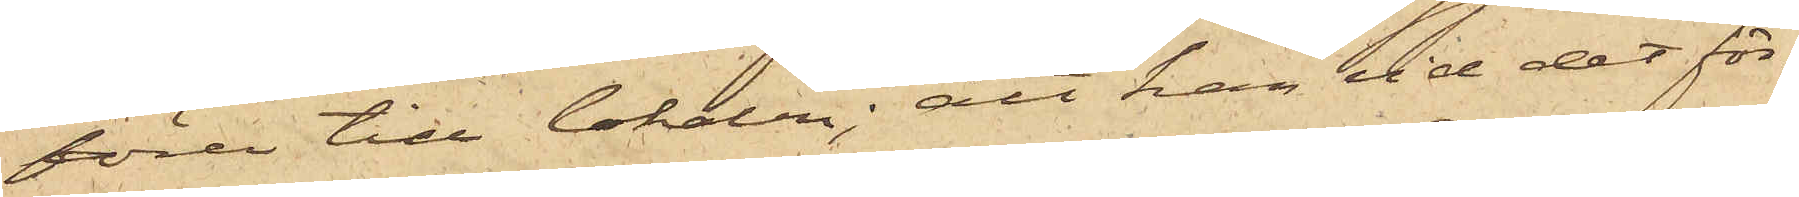förer till lokalen; att han vid det för¬
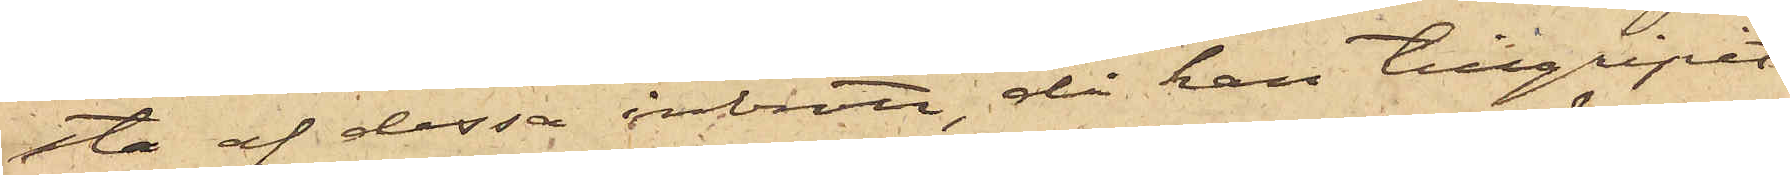sta af dessa inbrott, då han tillgripit
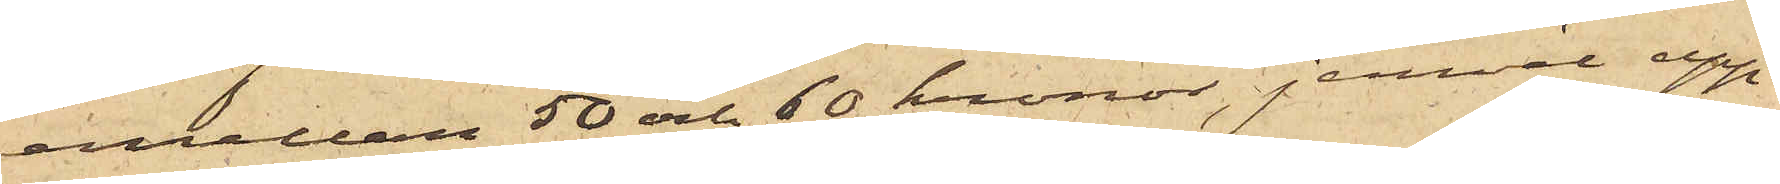emellan 50 och 60 kronor, jemväl upp¬
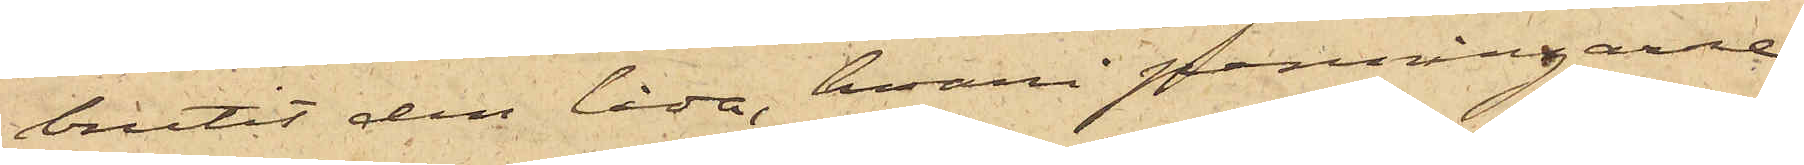brutit den låda, hvari penningarne
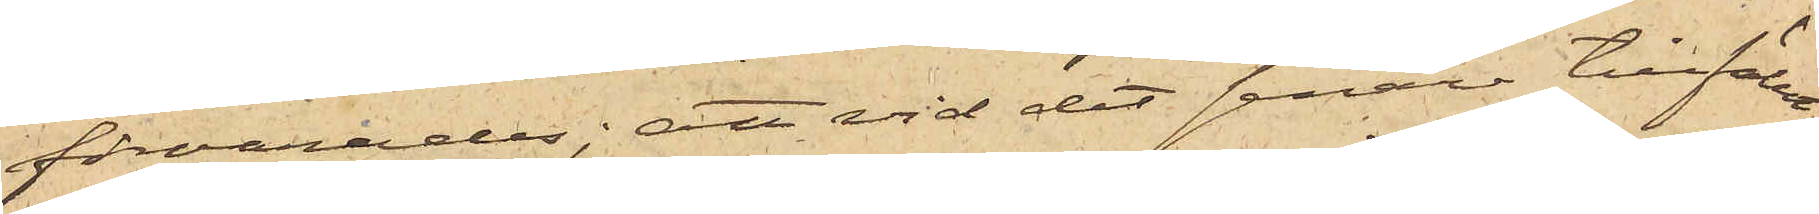förvarades; att vid det senare tillfälle,
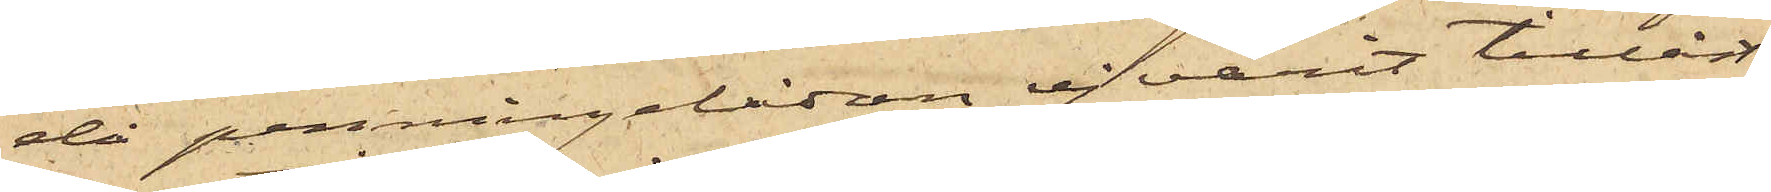då penningelådan ej varit tillåst,
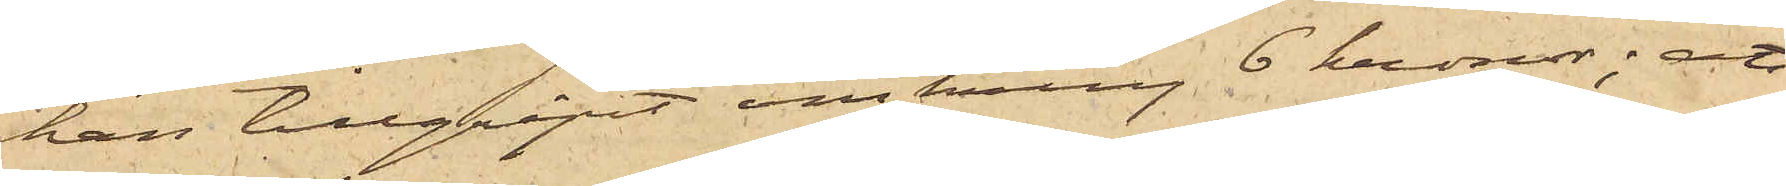han tillgripit omkring 6 kronor; att
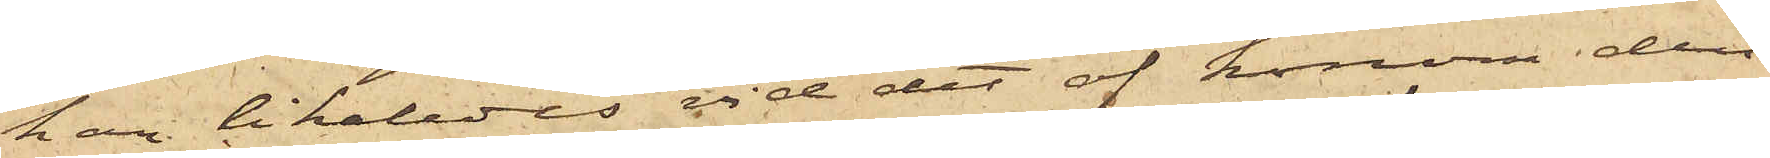han likaledes vid det af honom den
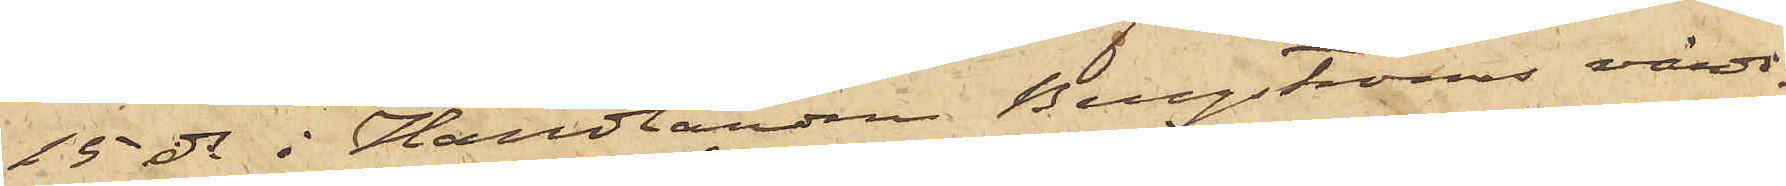15 ds i Handlanden Bergströms värds¬
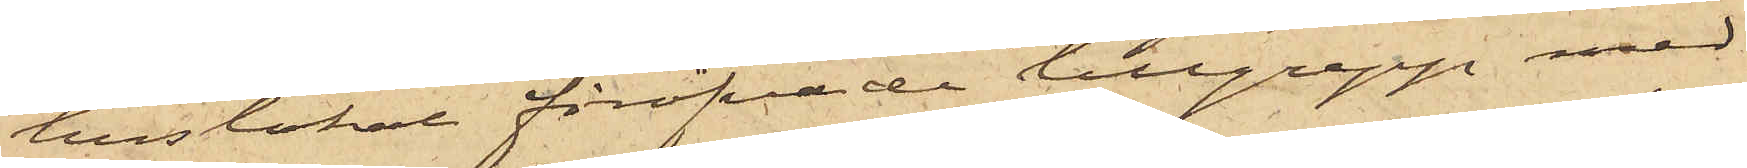huslokal föröfvade tillgrepp med
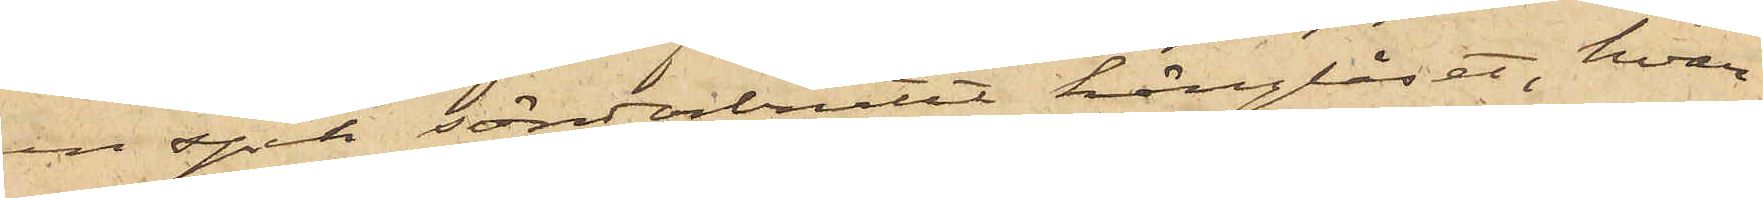en spik sönderbrutit hänglåset, hvar¬
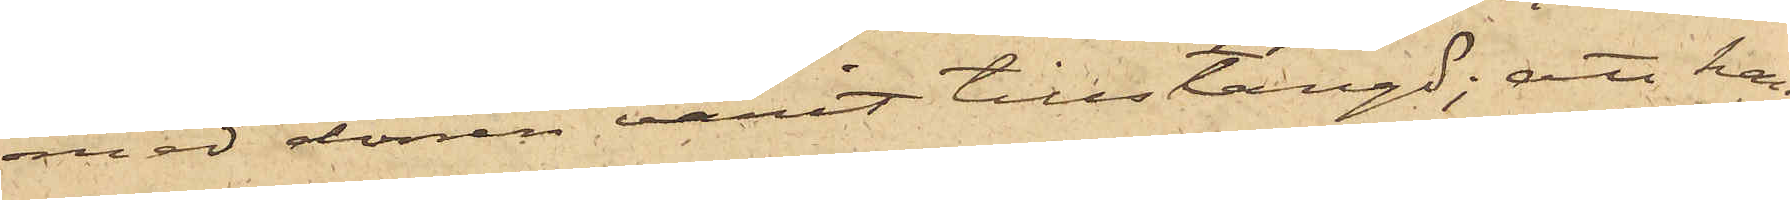med dörren varit tillstängd; att han
